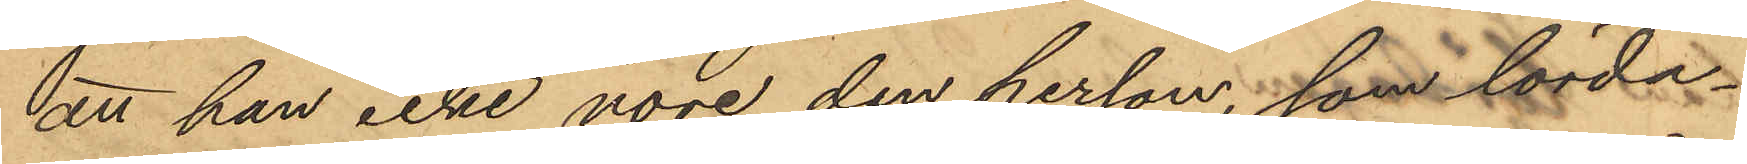att han icke vore den person, som lörda¬
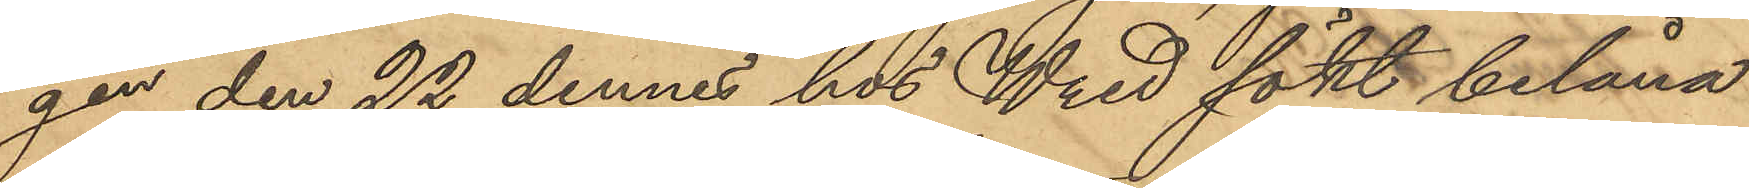gen den 22 dennes hos Wred sökt belåna
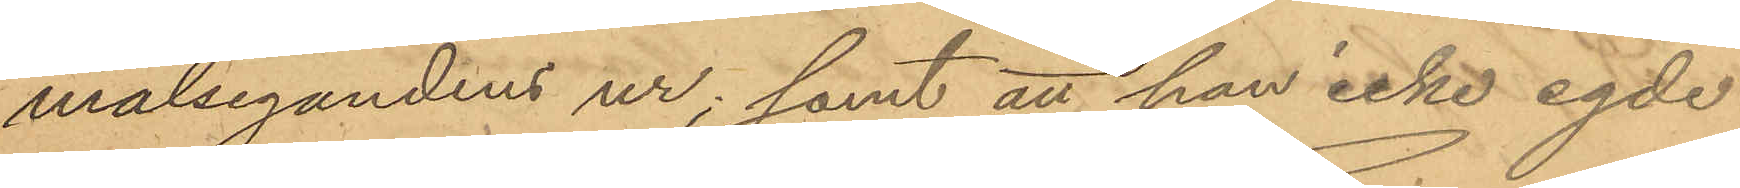målsegandens ur; samt att han icke egde
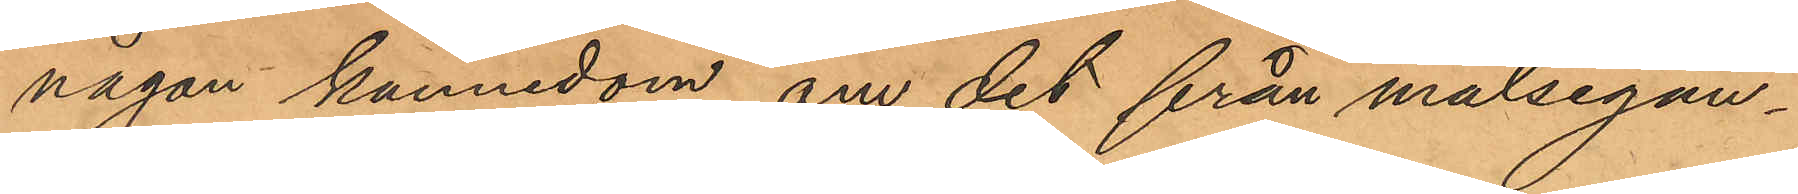någon kännedom om det från målsegan¬
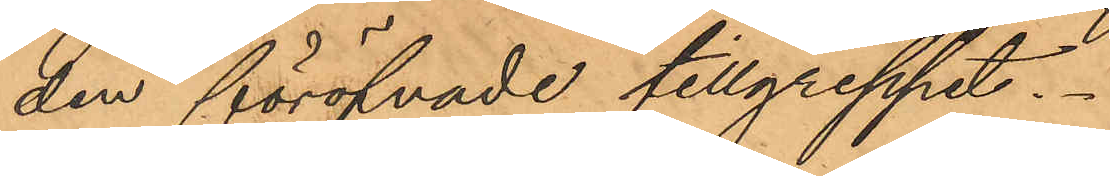den föröfvade tillgreppet.
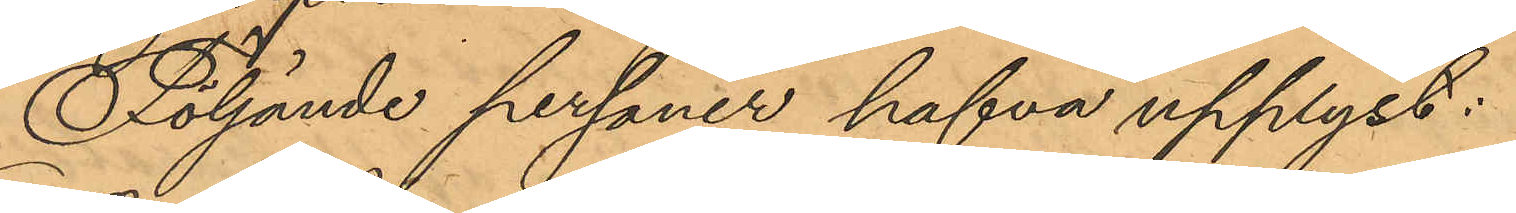Följande personer hafva upplyst:
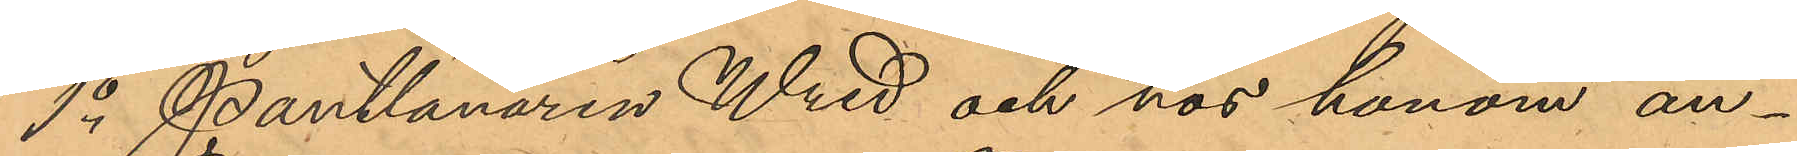1o Pantlånaren Wred och hos honom an¬
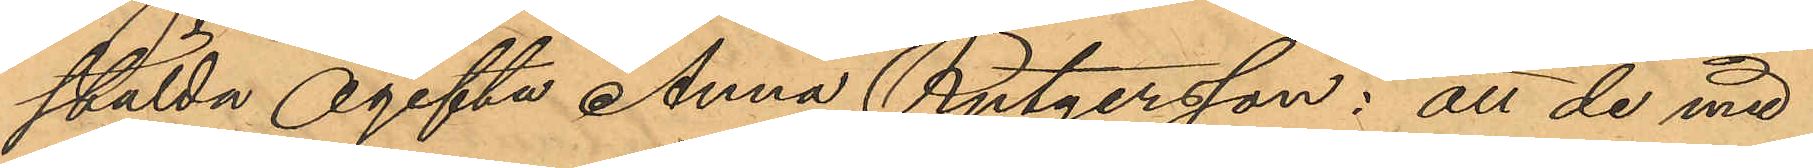stälda ogifta Anna Rutgersson: att de med
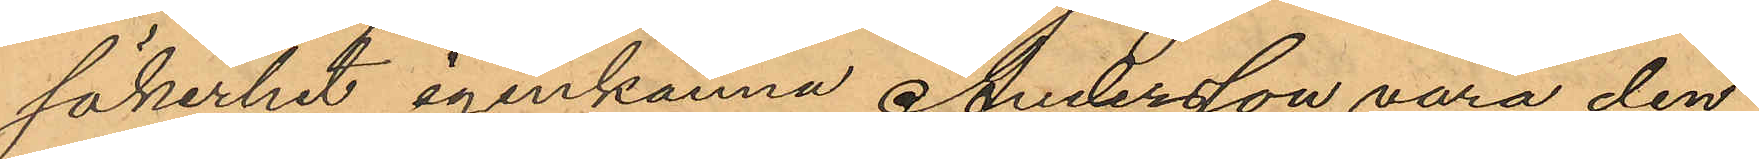säkerhet igenkänna Andersson vara den
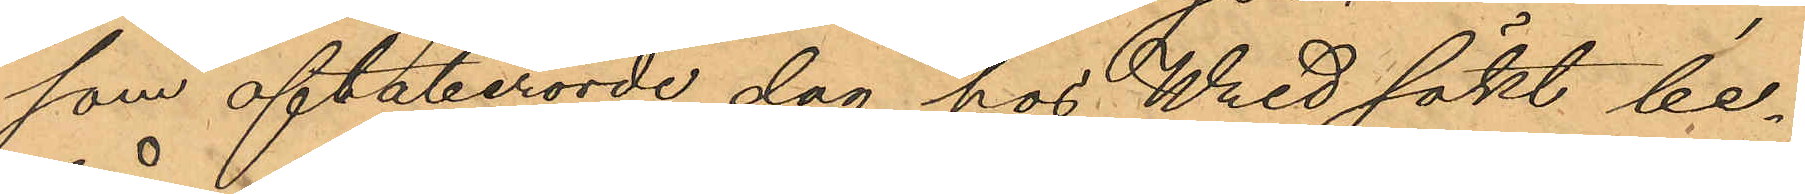som oftaberörde dag hos Wred sökt be¬
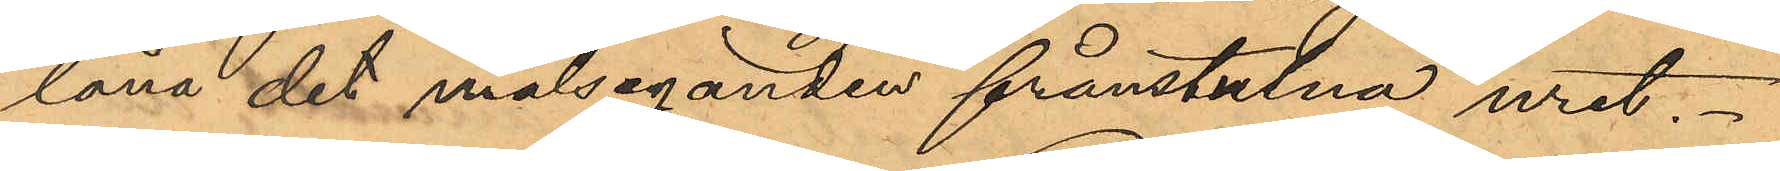låna det målseganden frånstulna uret.
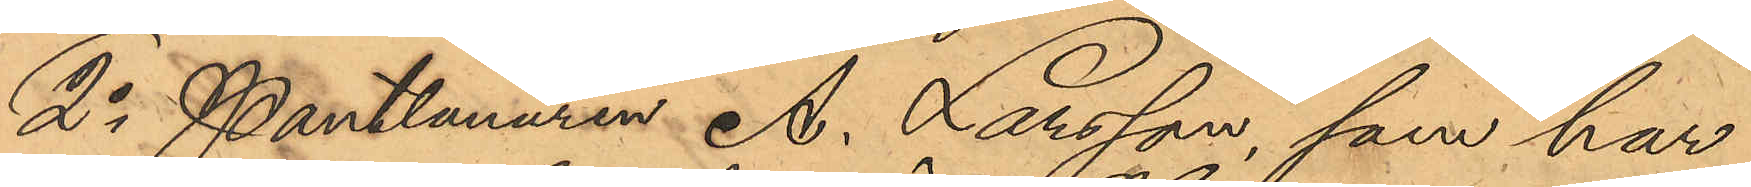2o Pantlånaren A. Larsson, som har
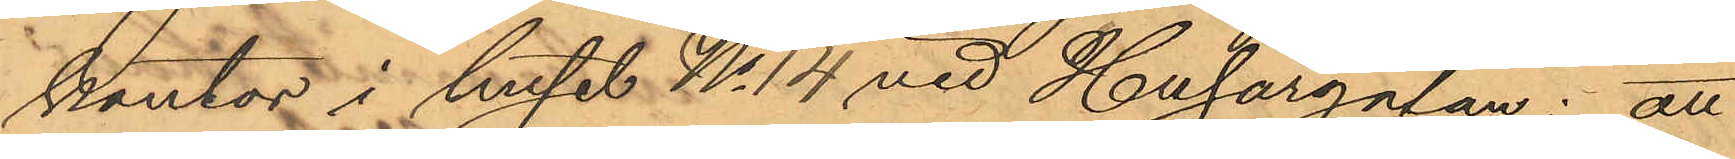kontor i huset No 14 vid Husargatan: att
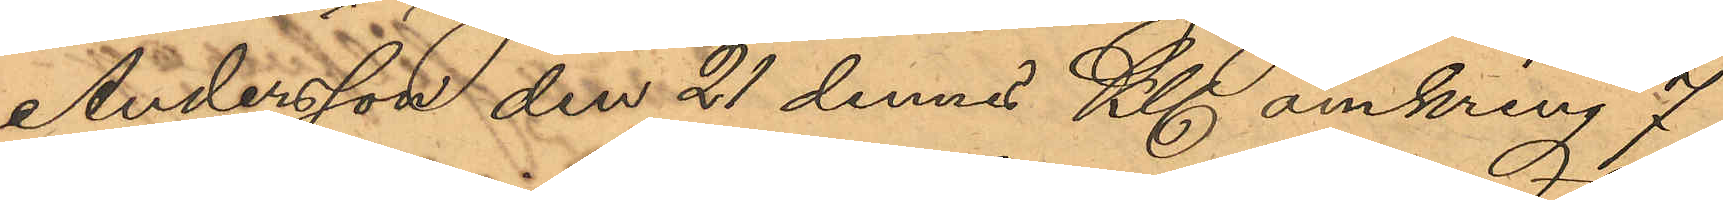Andersson den 21 dennes Kl. omkring 7
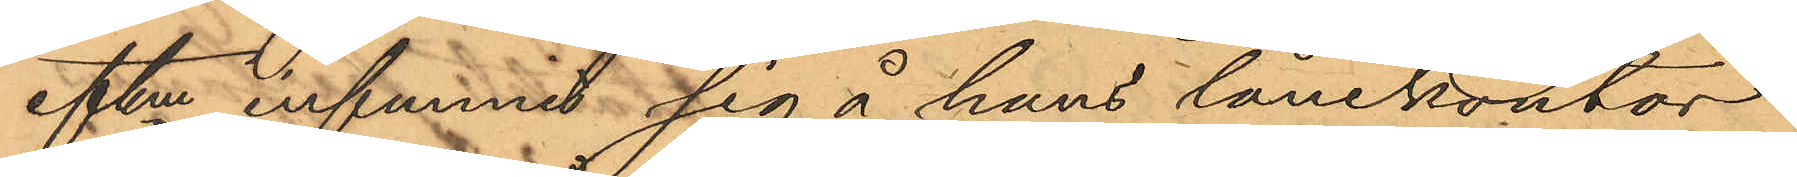eftm infunnit sig å hans lånekontor
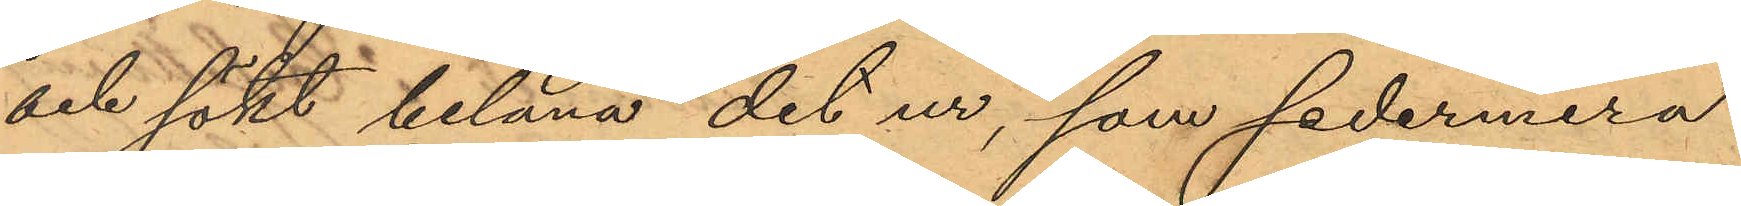och sökt belåna det ur, som sedermera
